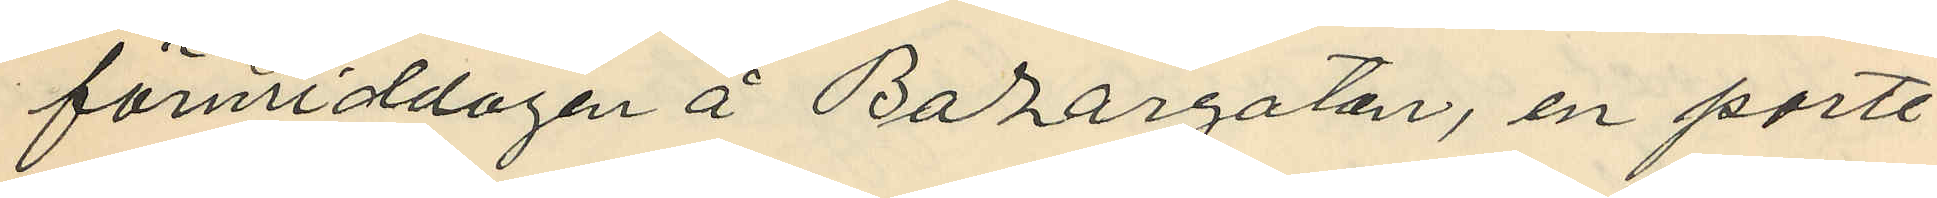förmiddagen å Bazargatan, en porte¬
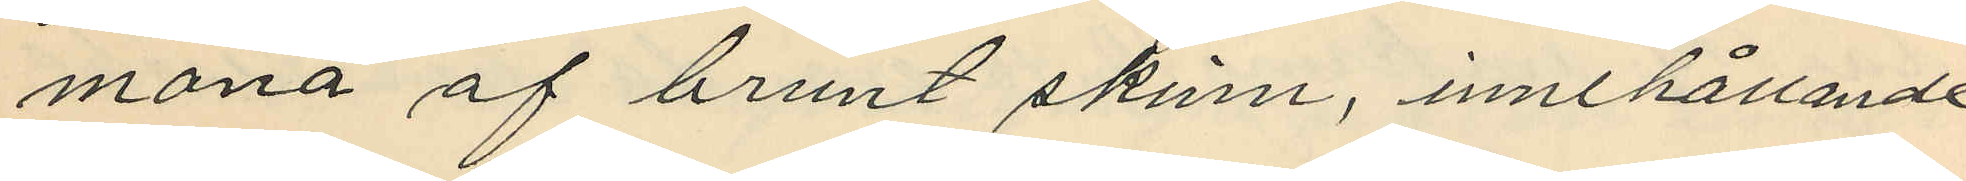monä af brunt skinn, innehållande
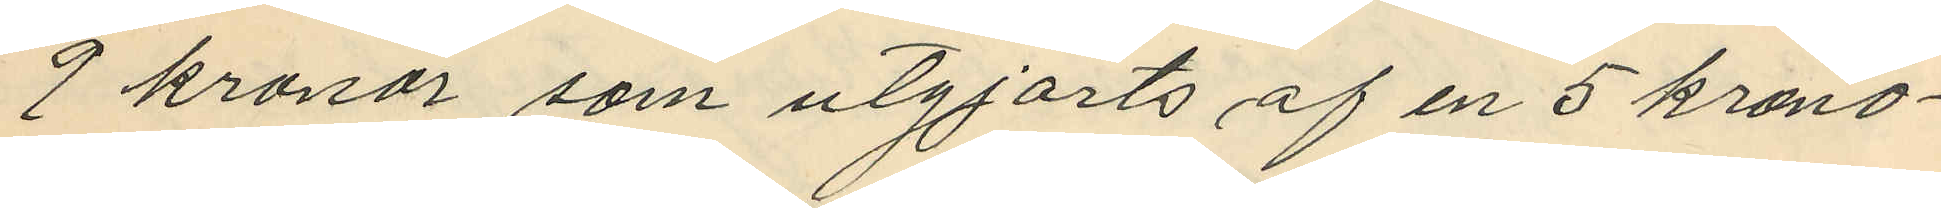9 kronor som utgjorts af en 5 krono¬
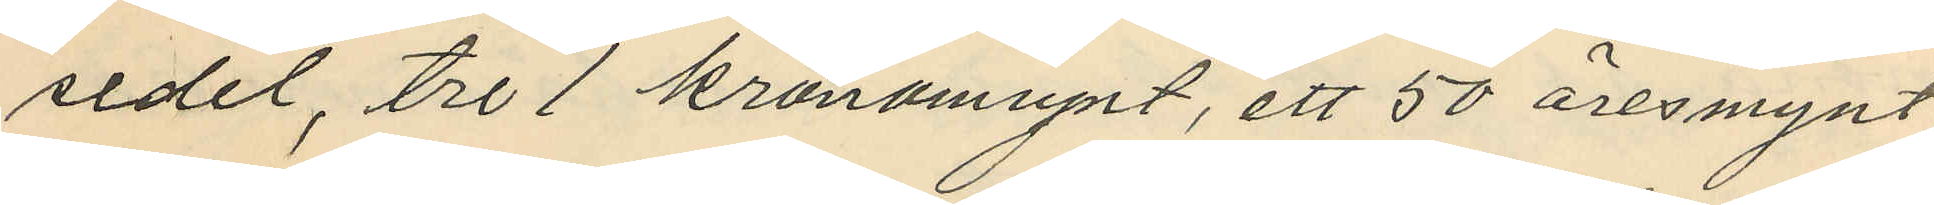sedel, tre 1 kronomynt, ett 50 öresmynt
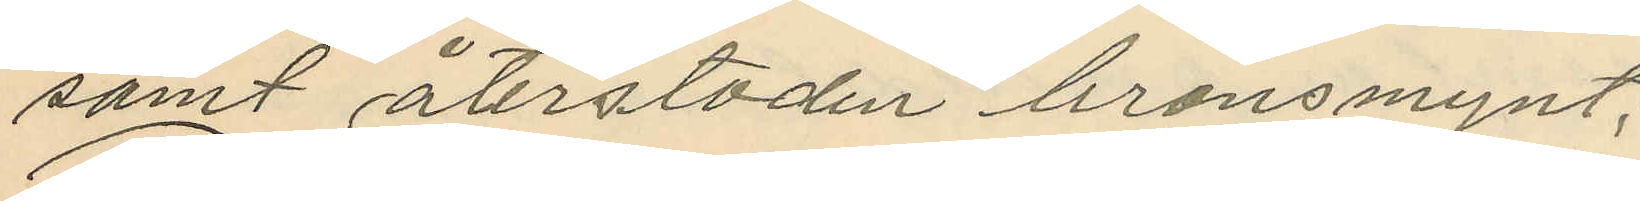samt återstoden bronsmynt;
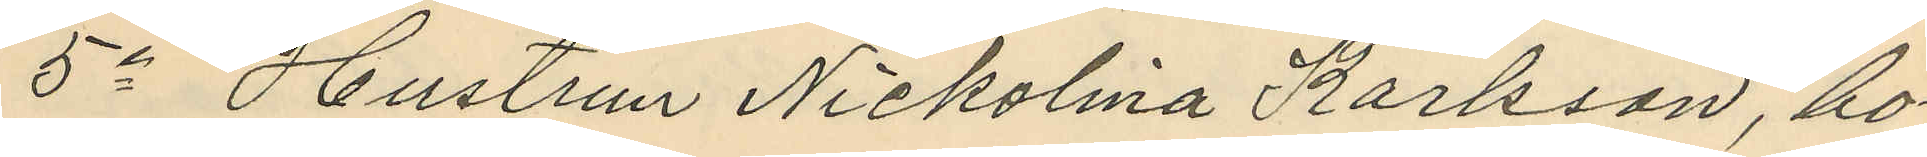5o Hustrun Nickolina Karlsson, bo¬
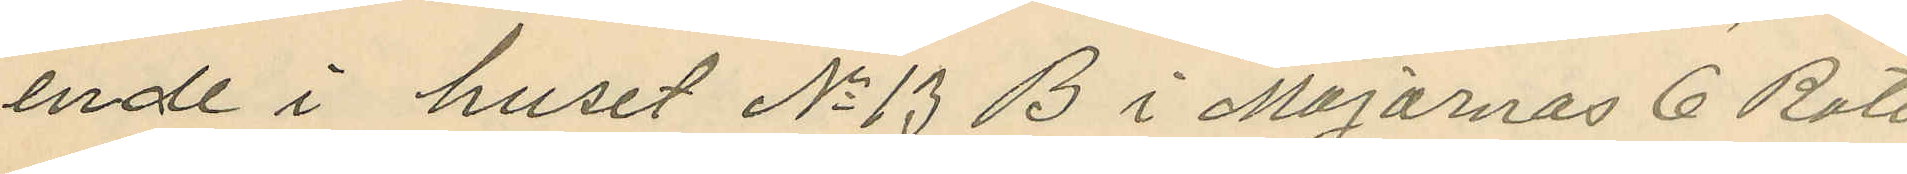ende i huset No 13 B i Majornas 6 Rote
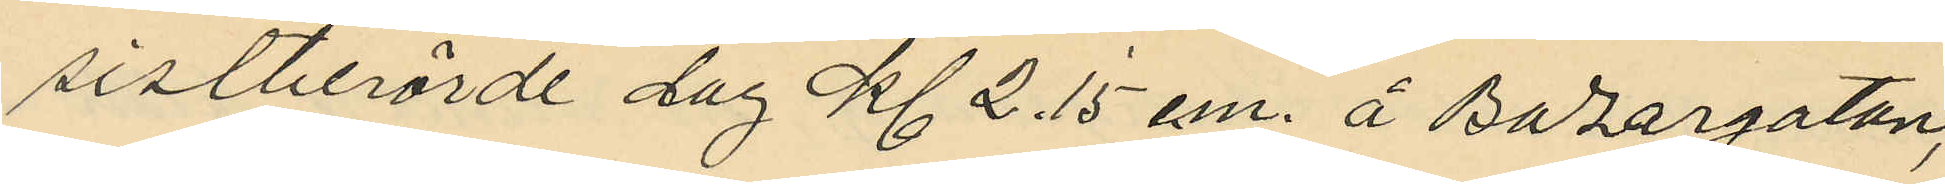sistberörde dag kl. 2.15 e.m. å Bazargatan,
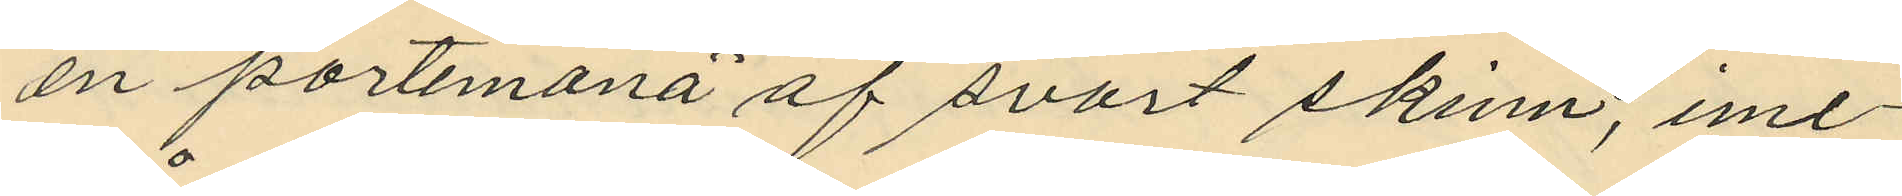en portemonä af svart skinn, ime¬
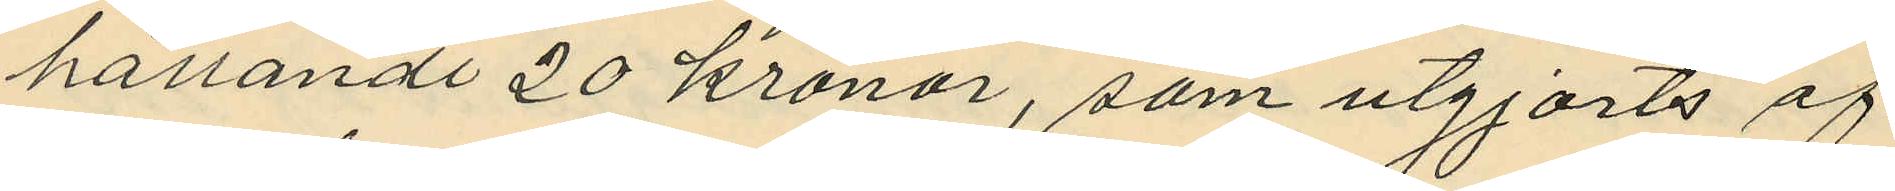hållande 20 kronor, som utgjorts af
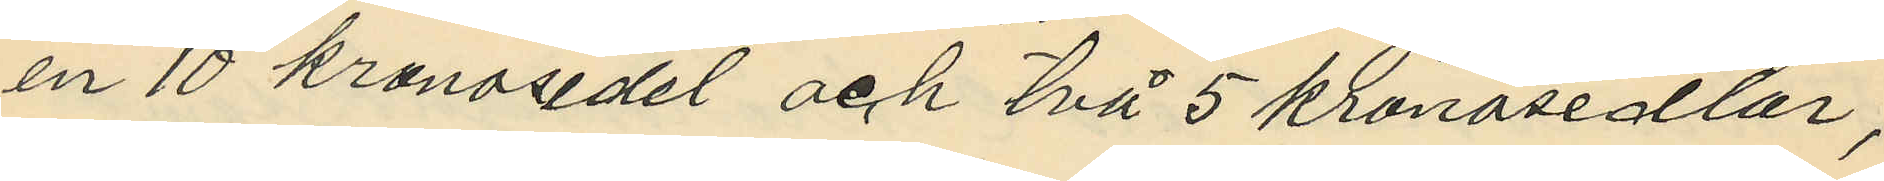en 10 kronosedel och två 5 kronosedlar;
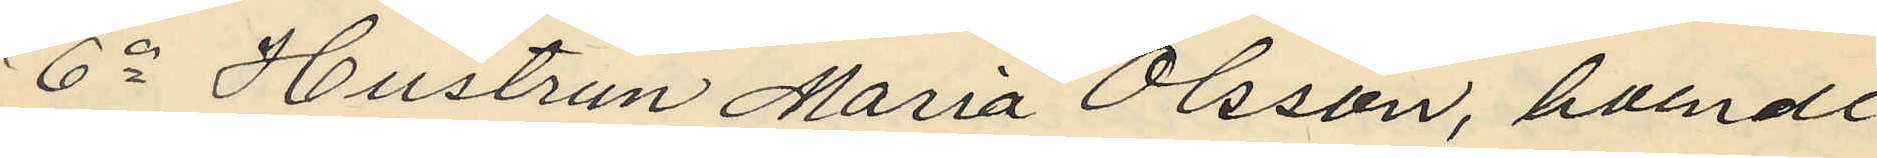6o Hustrun Maria Olsson, boende
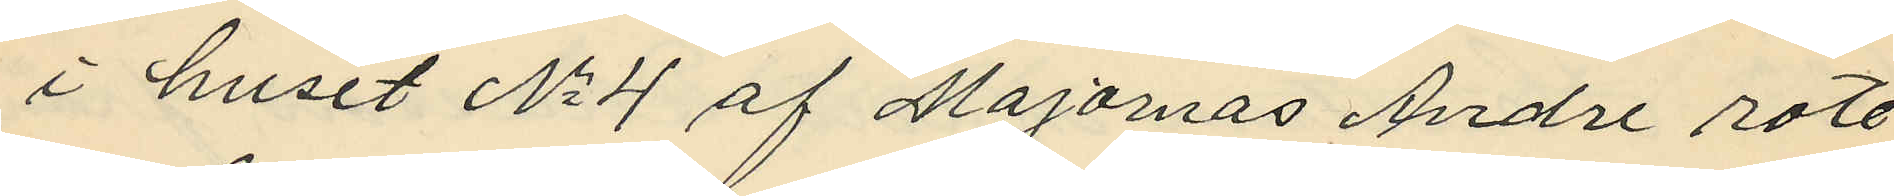i huset No 4 af Majornas Andre rote,
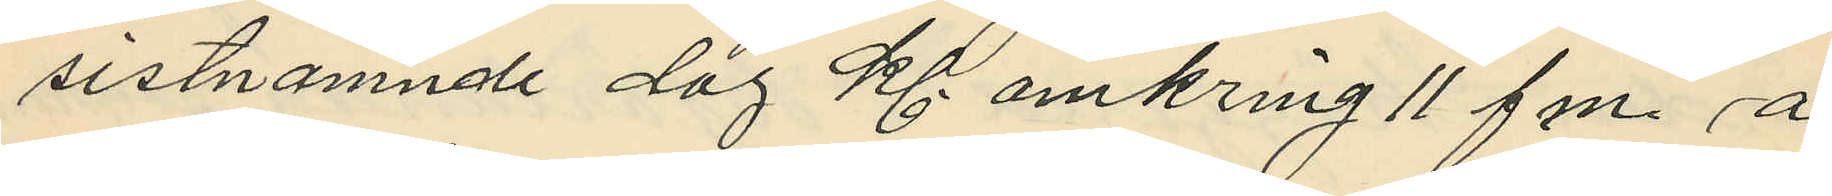sistnamnde dag kl. omkring 11 f.m. å
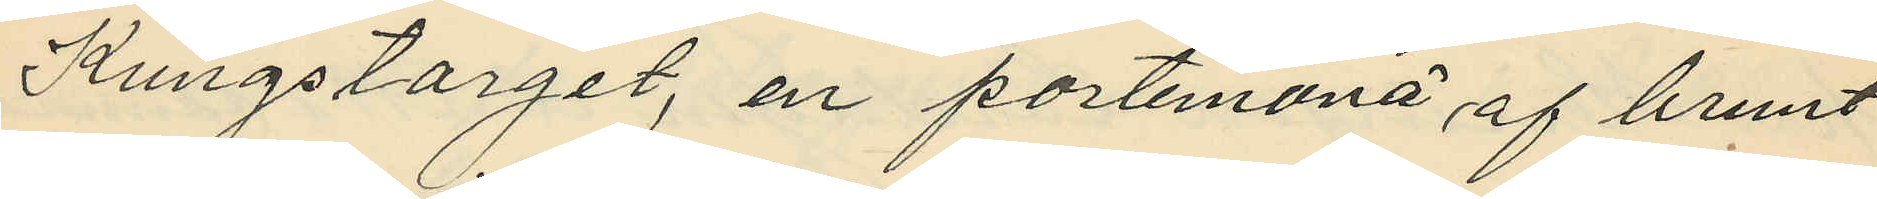Kungstorget, en portemonä af brunt
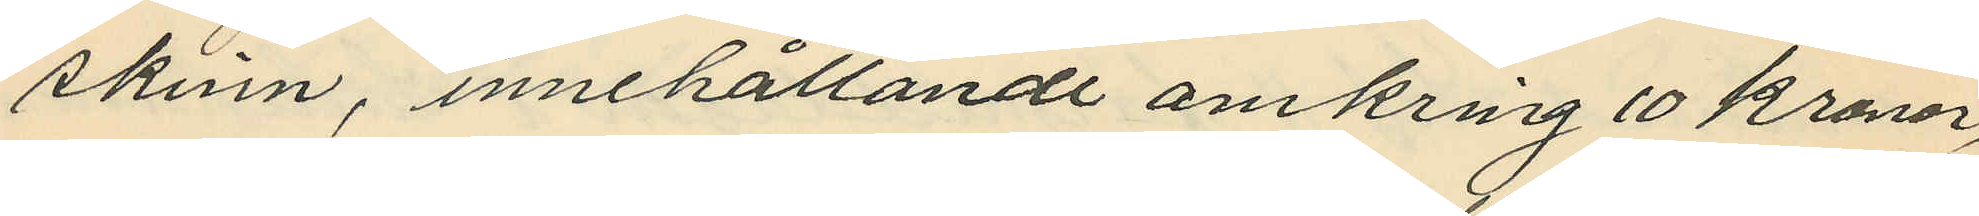skinn, innehållande omkring 10 kronor,
